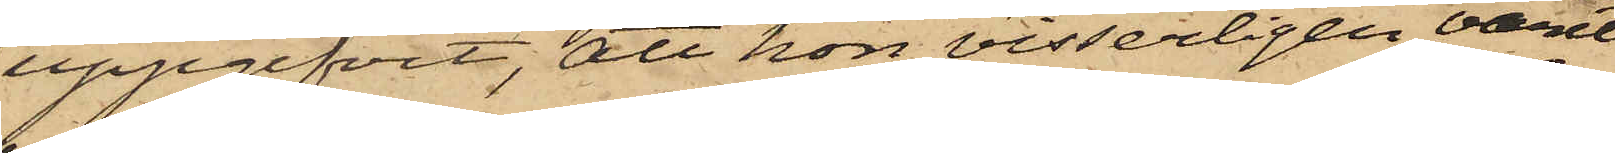uppgifvit, att hon visserligen varit
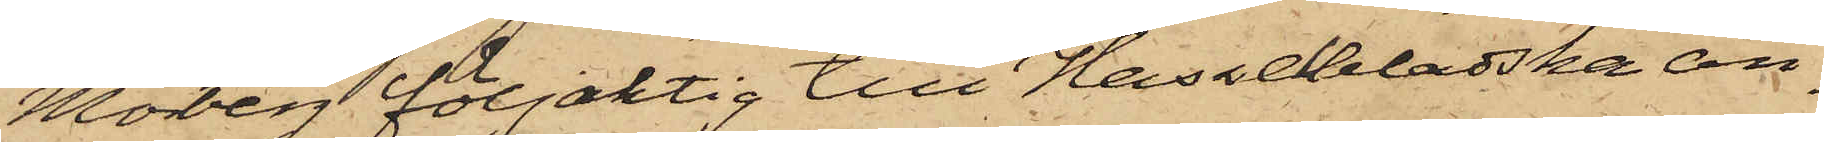Moberg följaktig till Hasselbladska än¬
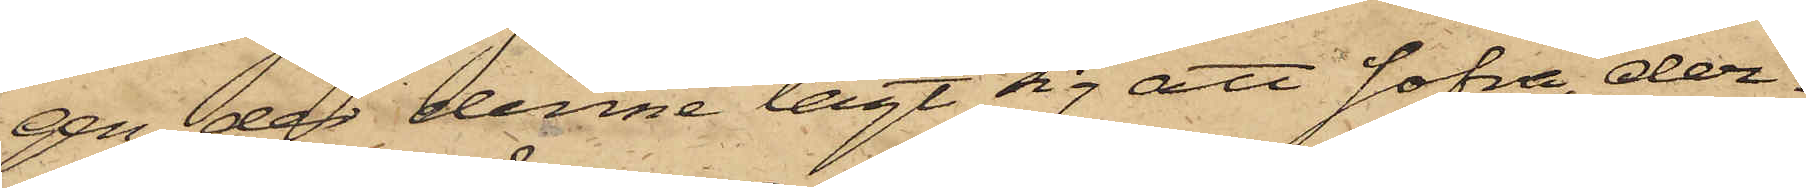gen, der denne lagt sig att sofva, der¬
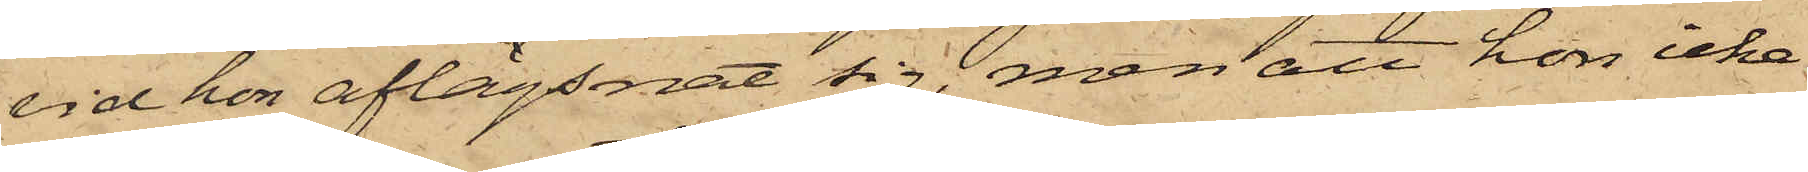vid hon aflägsnat sig, men att hon icke
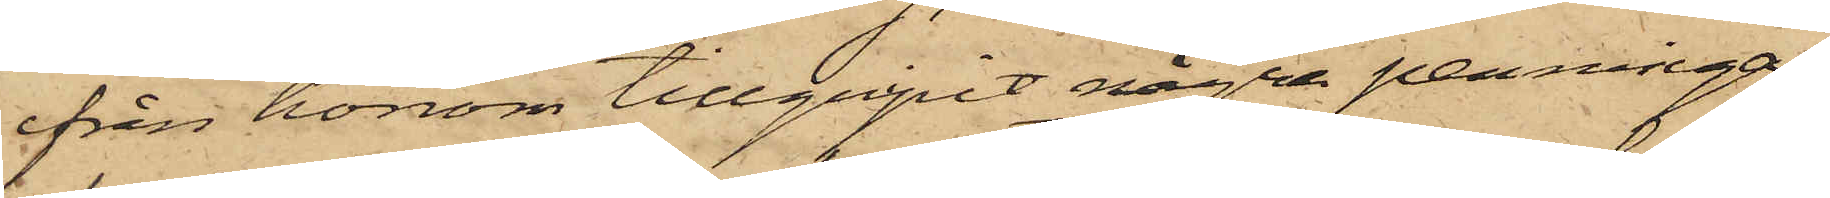ifrån honom tillgripit några penningar;
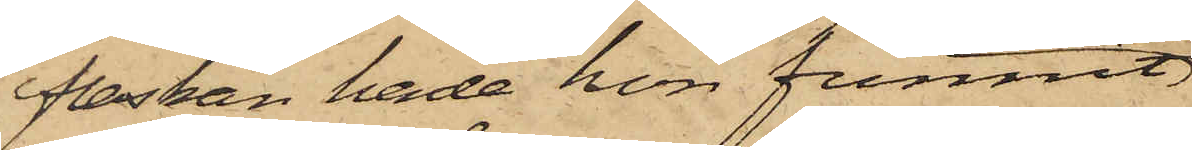flaskan hade hon funnit
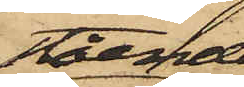stående
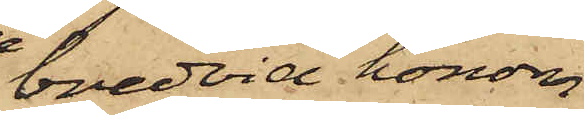bredvid honom
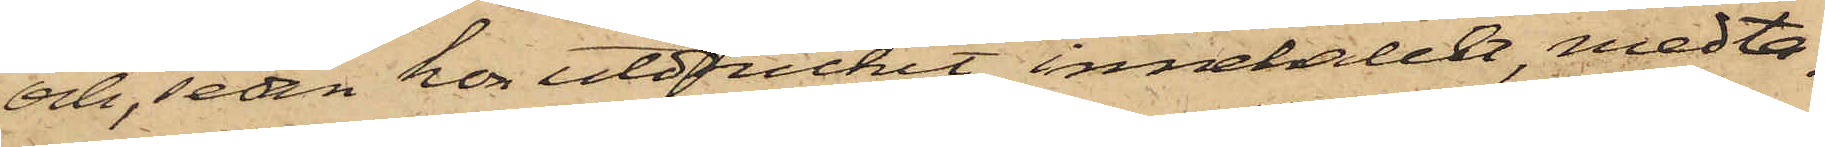och, sedan hon utdruckit innehållet, medta¬
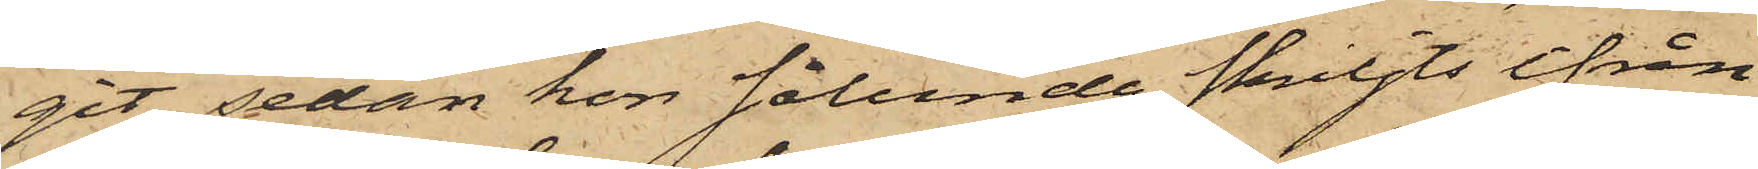git; sedan hon sålunda skiljts ifrån
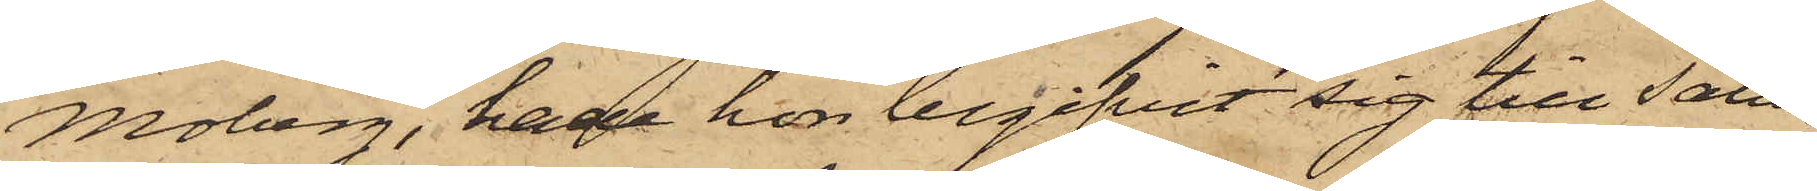Moberg, hade hon begifvit sig till Salu¬
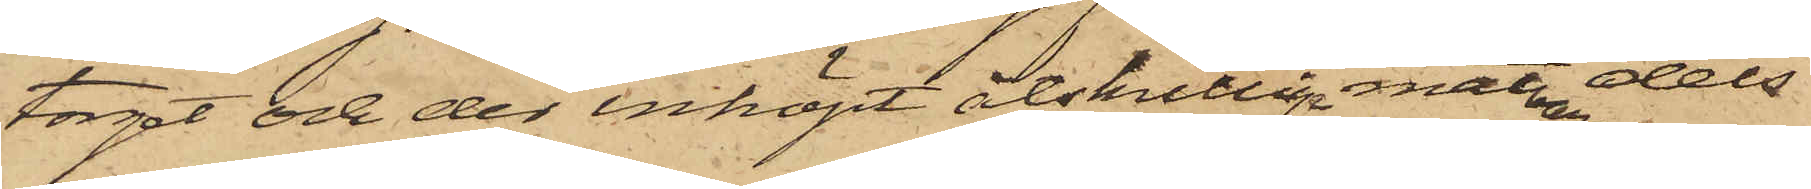torget och der inköpt åtskilliga matvaror dels
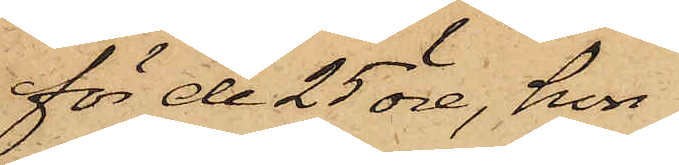för de 25 öre, hon
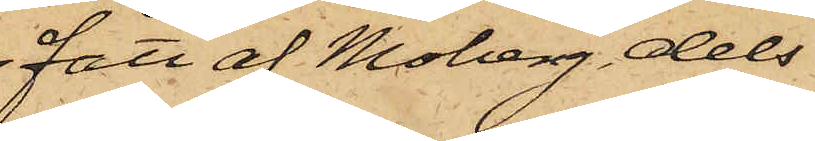fått af Moberg dels
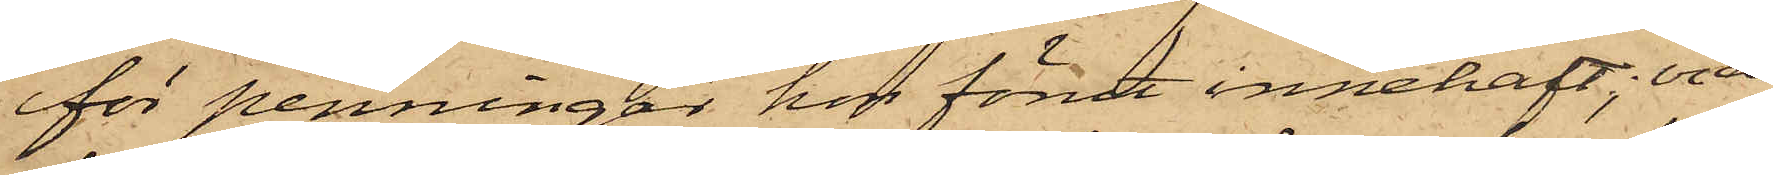för penningar hos förut innehaft; vid
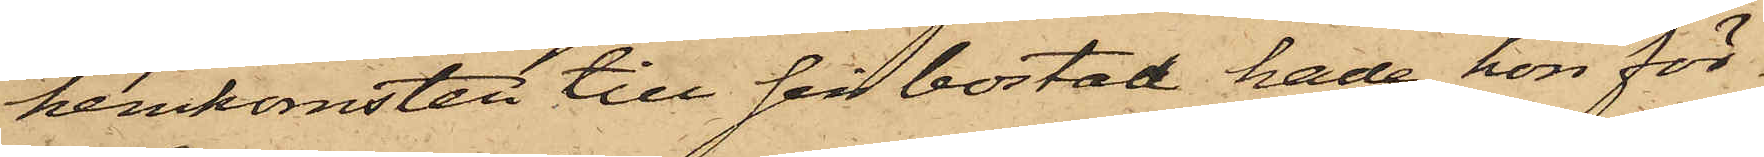hemkomsten till sin bostad hade hon för¬
